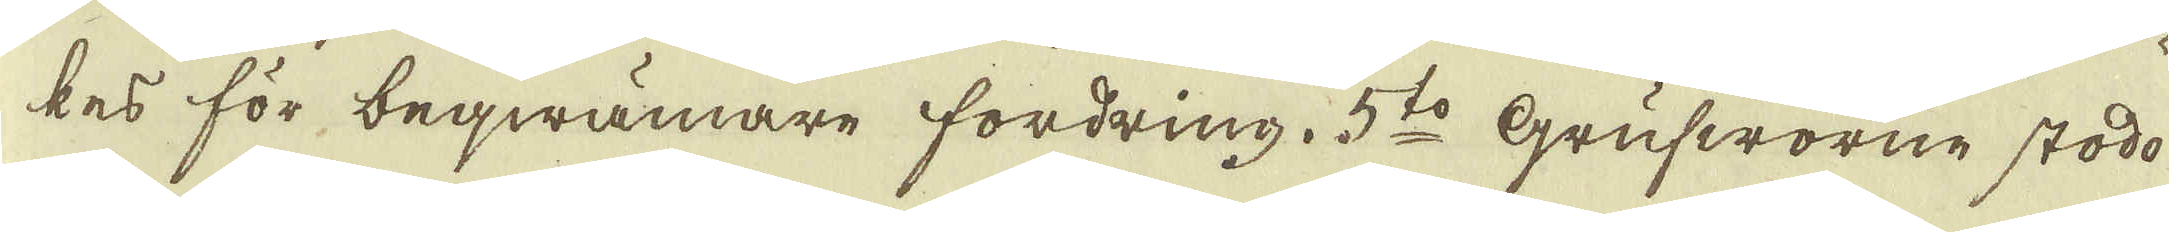kes för beqwämare fordring. 5:to Grufworne stodo
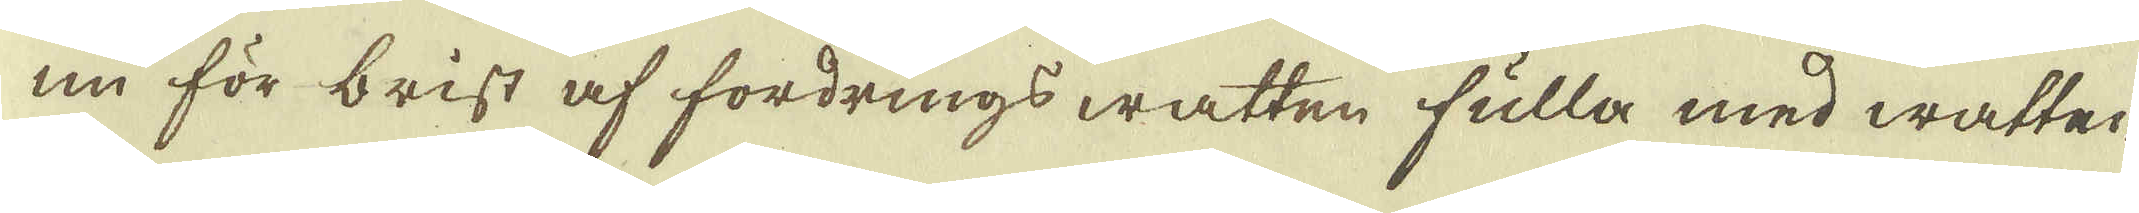nu för brist af fordrings watten fulla med watten
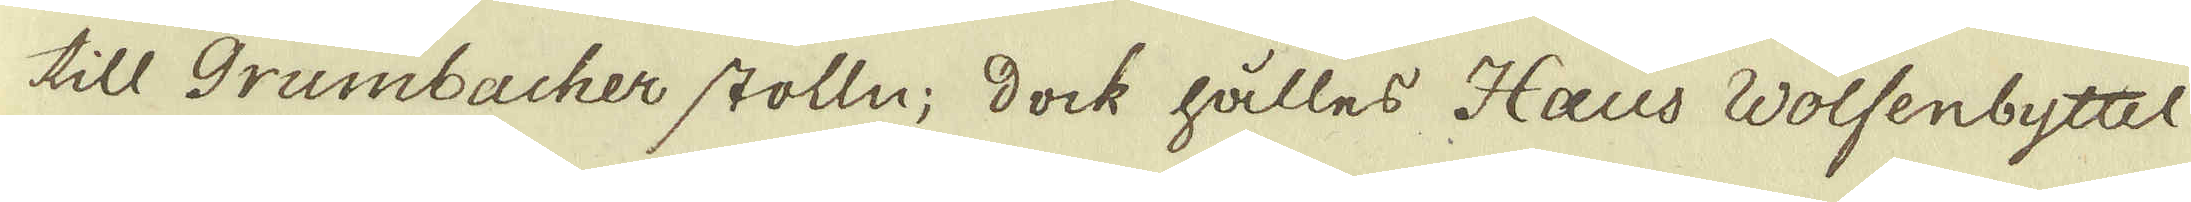till Grumbacher stolln; dock hålles Haus Wolfenbyttel
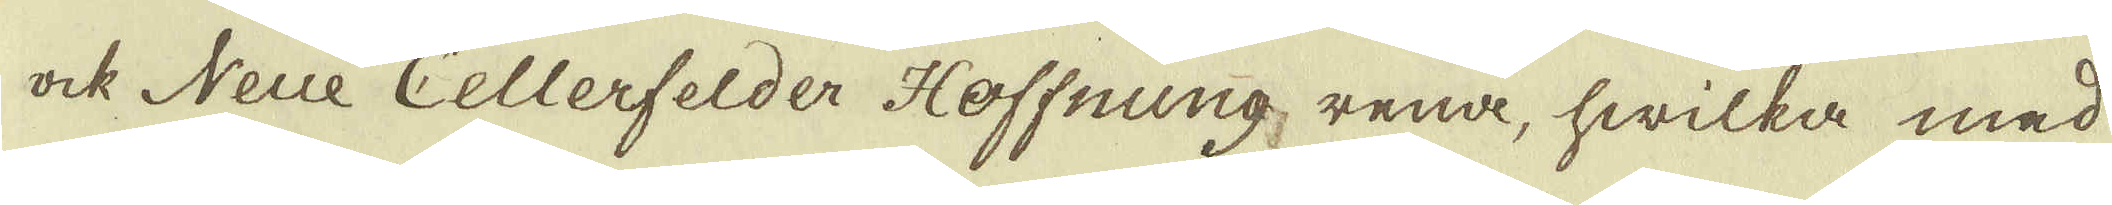ock Neue Cellerfelder Hoffning, rena, hwilka med
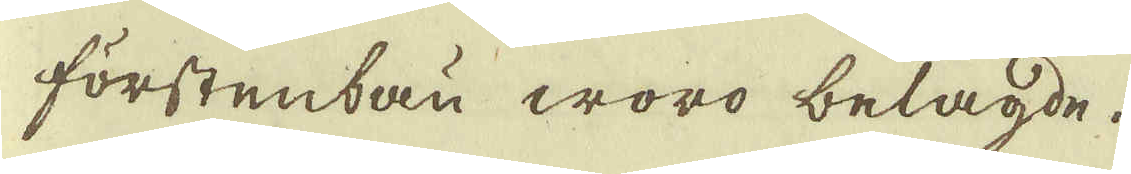förstenbau woro belagde.
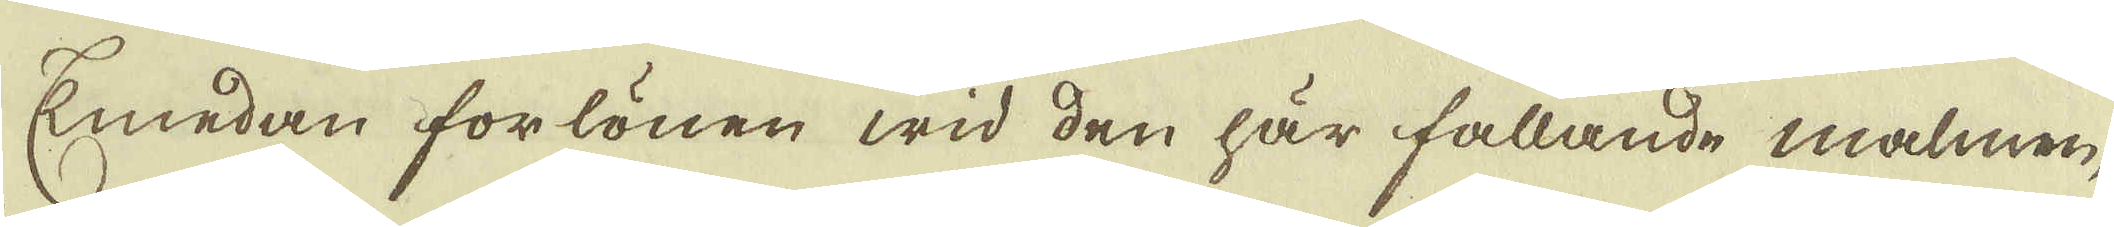Emedan forlönen wid den här fallande malmen,
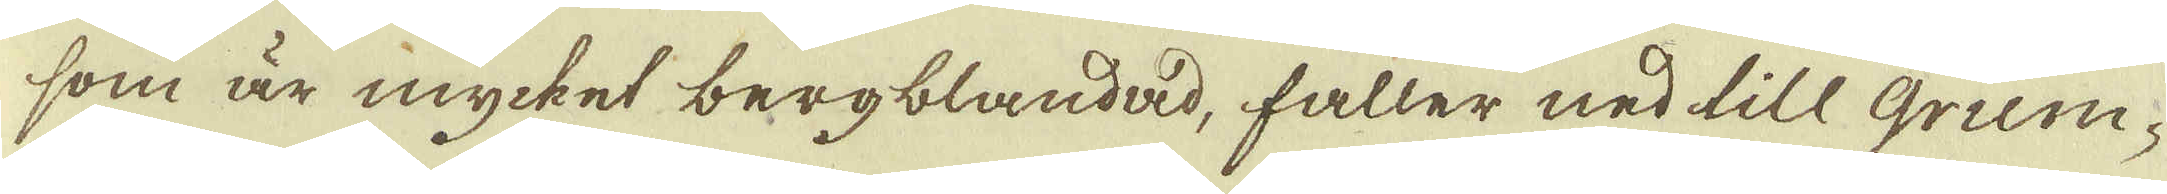som är mycket bergblandad, faller ned till Grum-
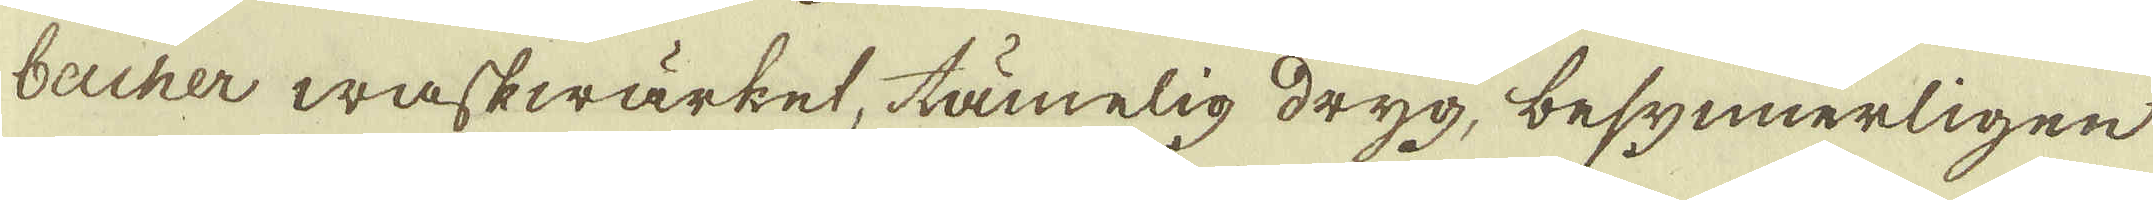becher waskwärket, tämelig dryg, besynnerligen
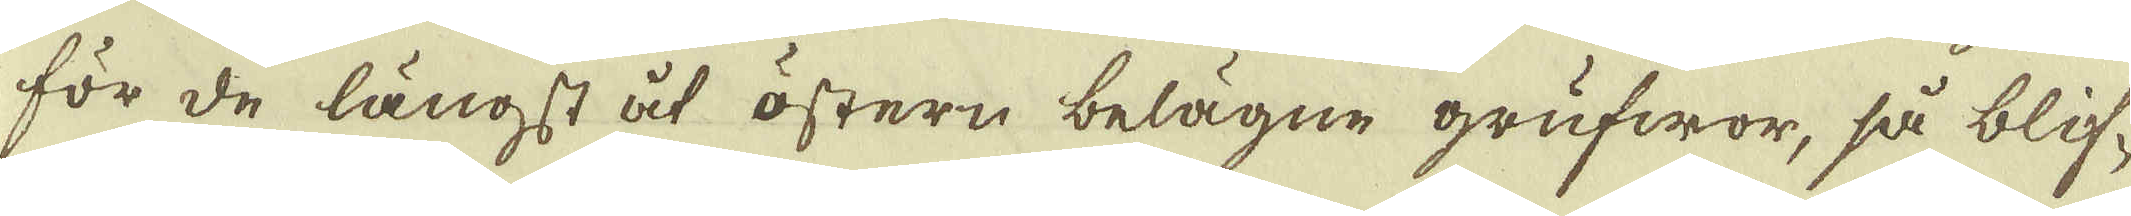för de längst åt östern belägne grufwor, så blif-
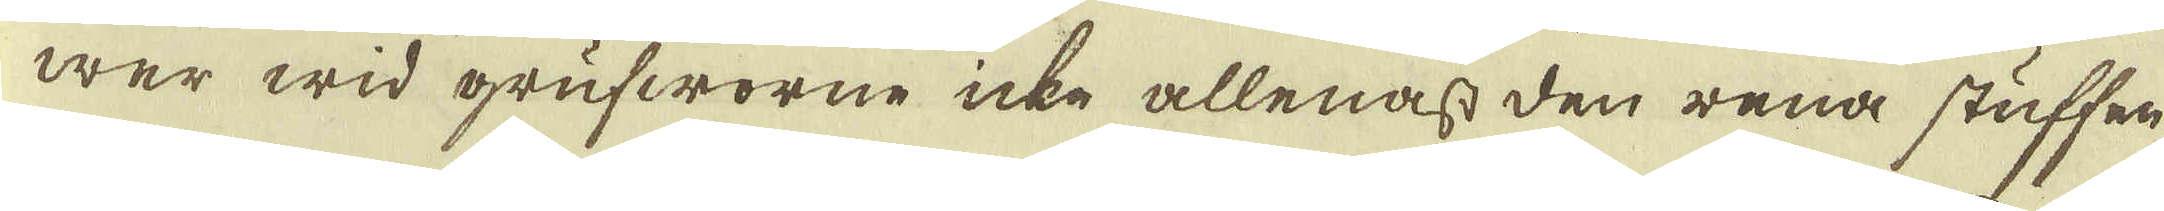wer wid grufworne icke allenast den rena stuffen
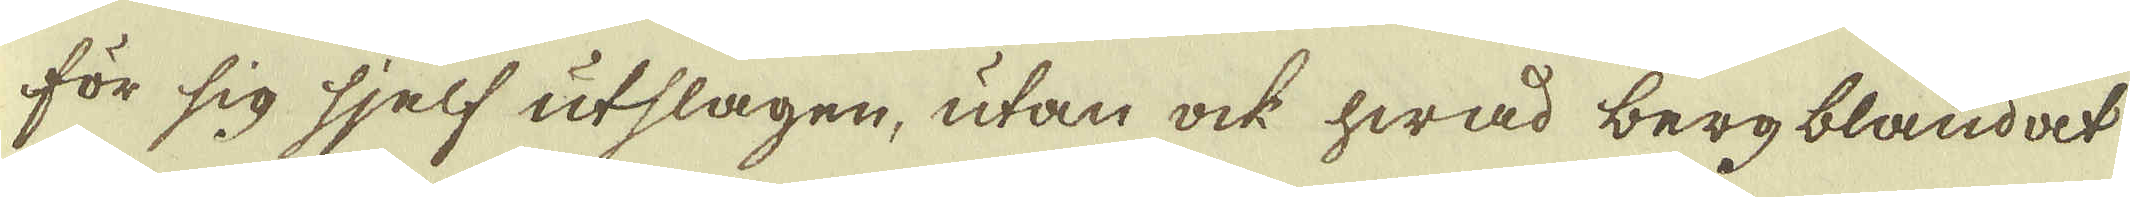för sig sjelf utslagen, utan ock hwad bergblandat
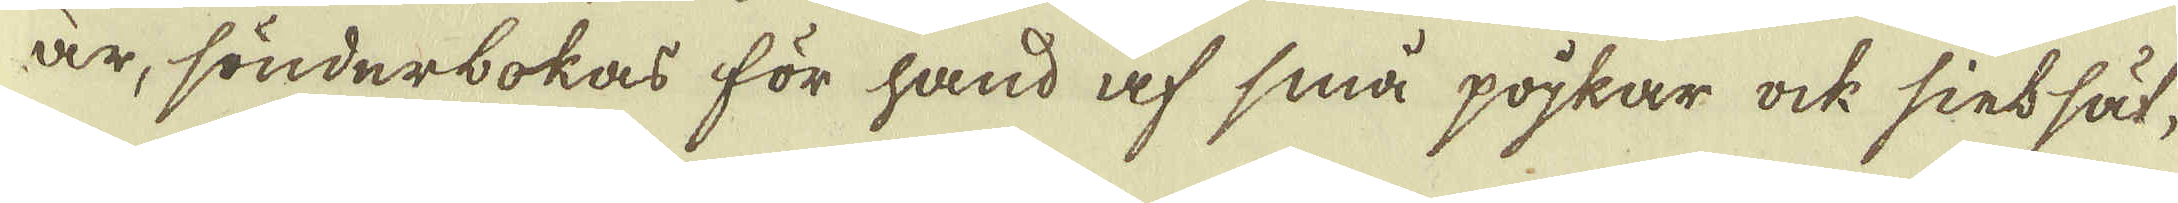är, sönderbokas för hand af små pojkar ock sinssät-
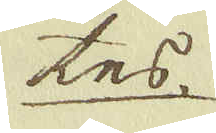tes
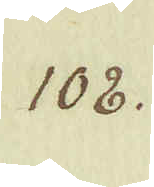108.
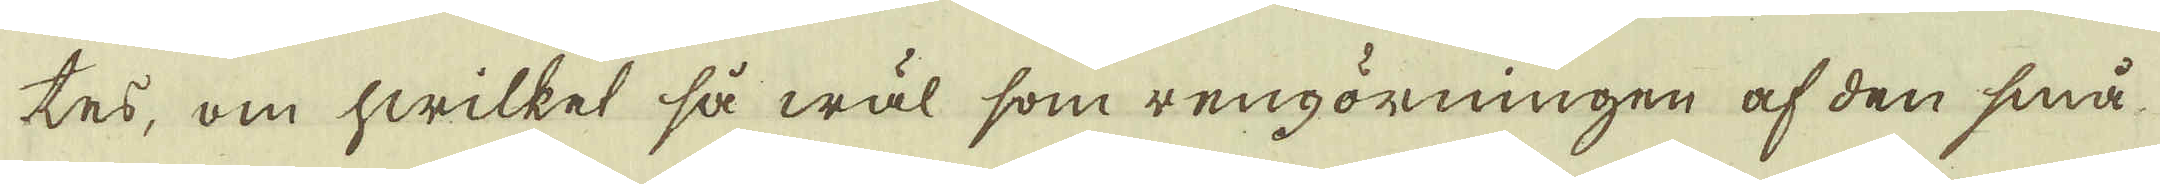tes, om hwilket så wäl som rengörningen af den små
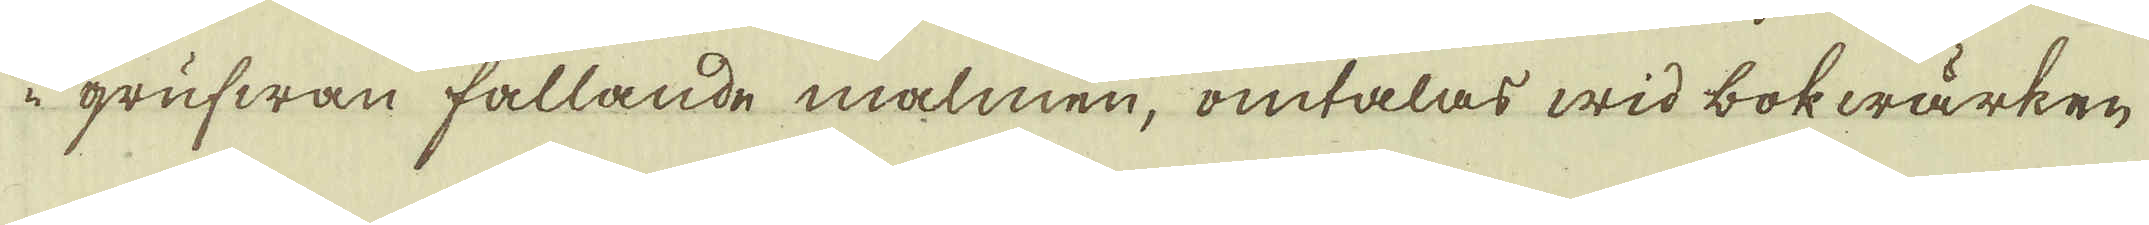i grufwan fallande malmen, omtalas wid bokwärken
